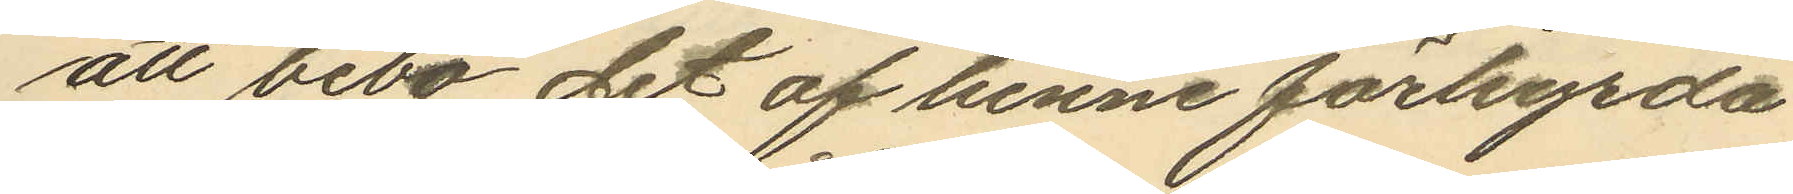att bebo det af henne förhyrda
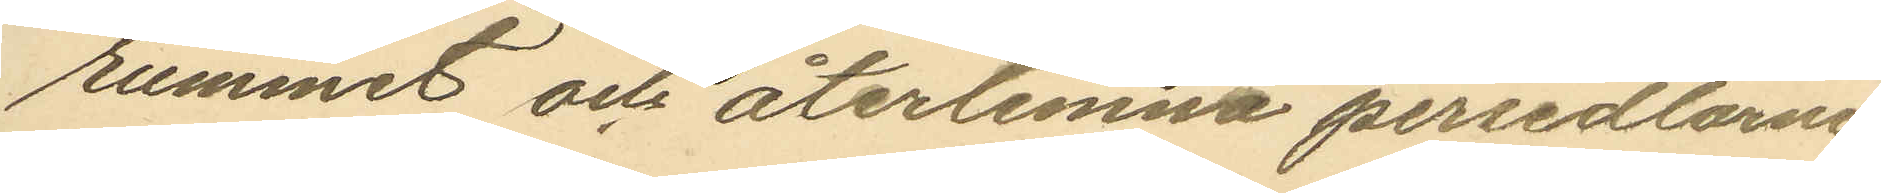rummet och återlemna persedlarne.
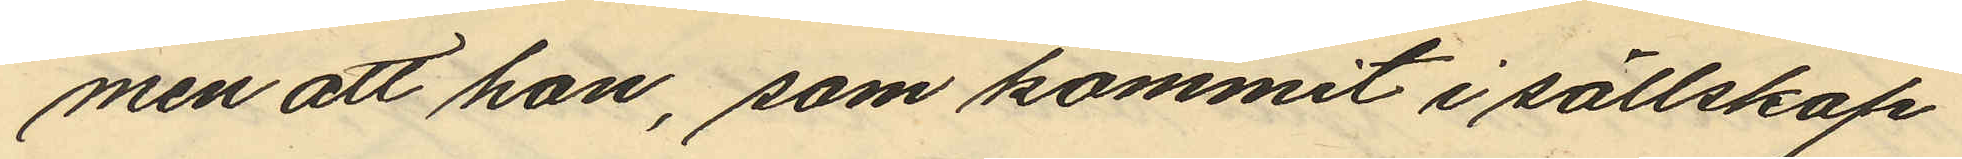men att hon, som kommit i sällskap
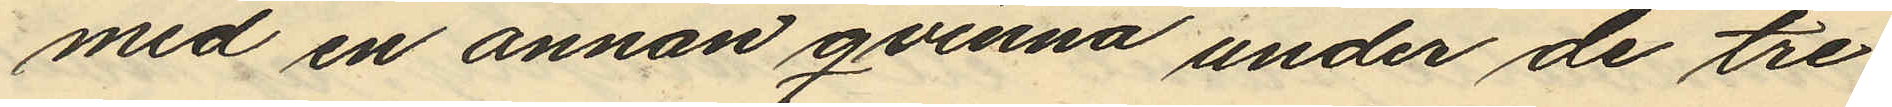med en annan qvinna under de tre
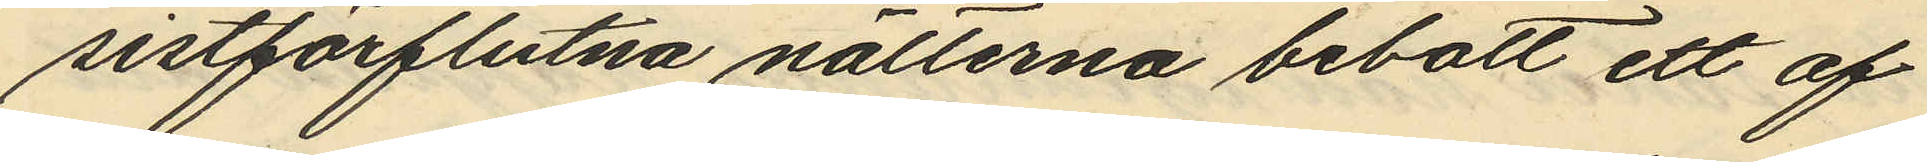sistförflutna nätterna bebott ett af
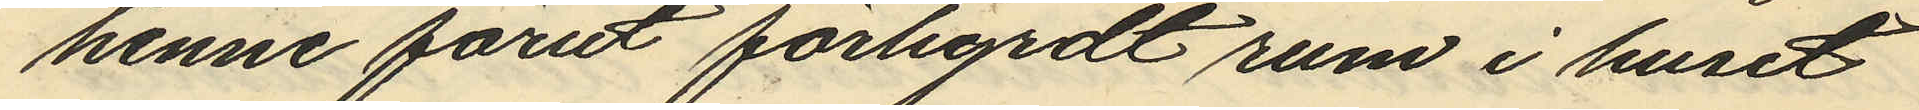henne förut förhyrdt rum i huset
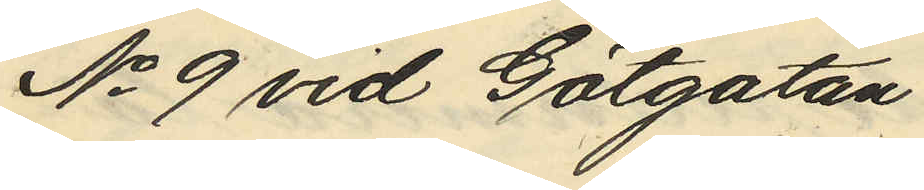No 9 vid Götgatan.
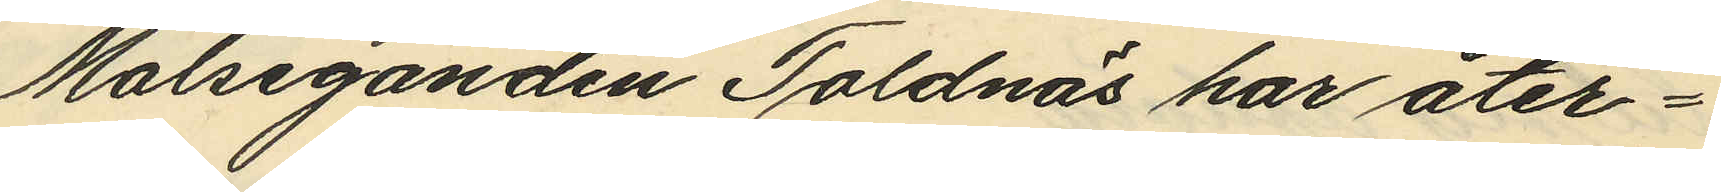Målseganden Toldnäs har åter¬
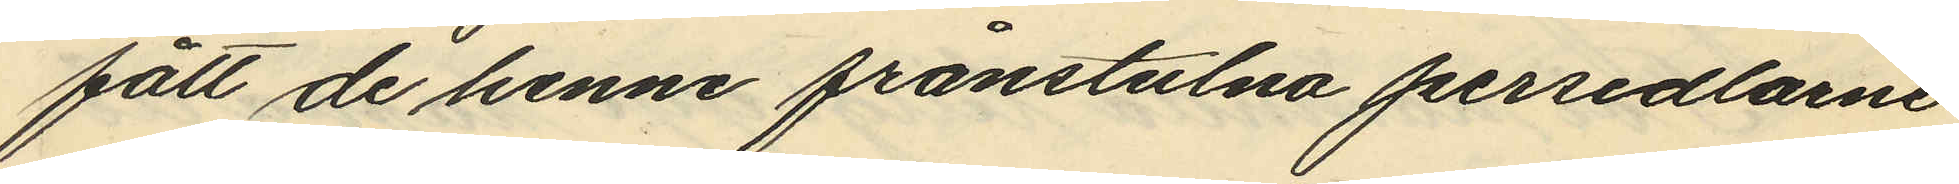fått de henne frånstulna persedlarne
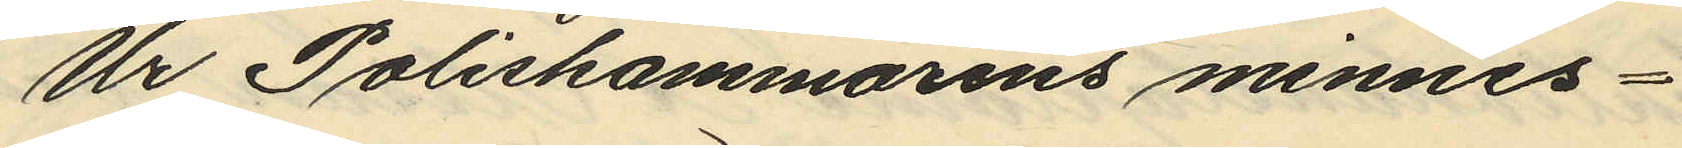Ur Poliskammarens minnes¬
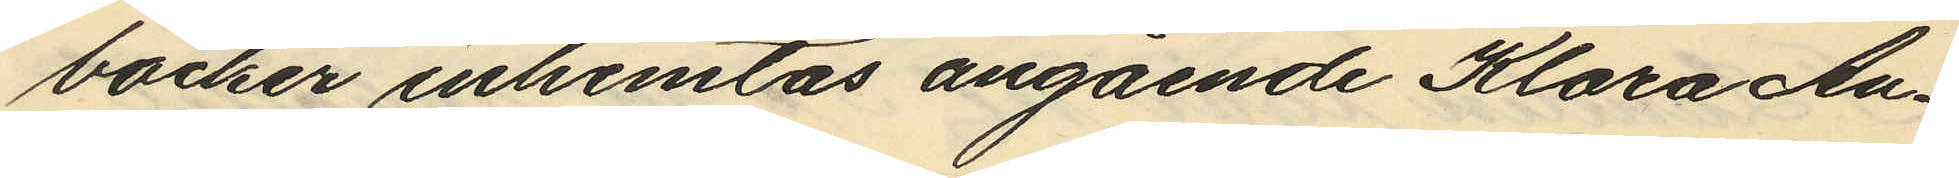böcker inhemtas angående Klara An¬
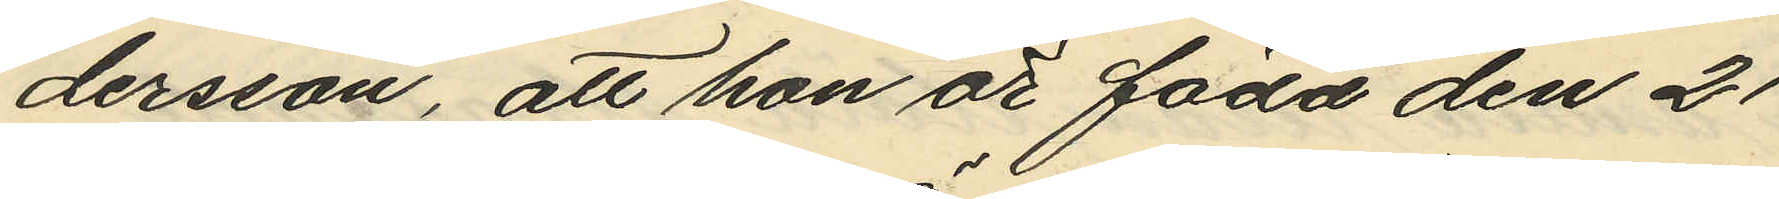dersson, att hon är född den 21
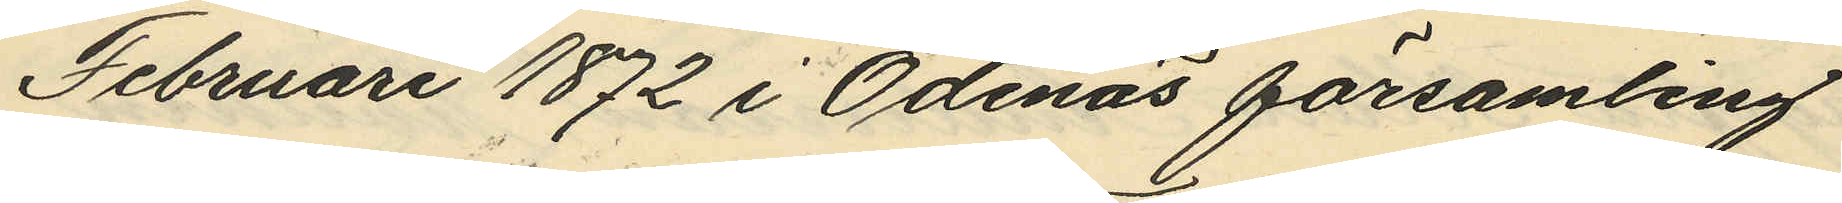Februari 1872 i Ödenas församling
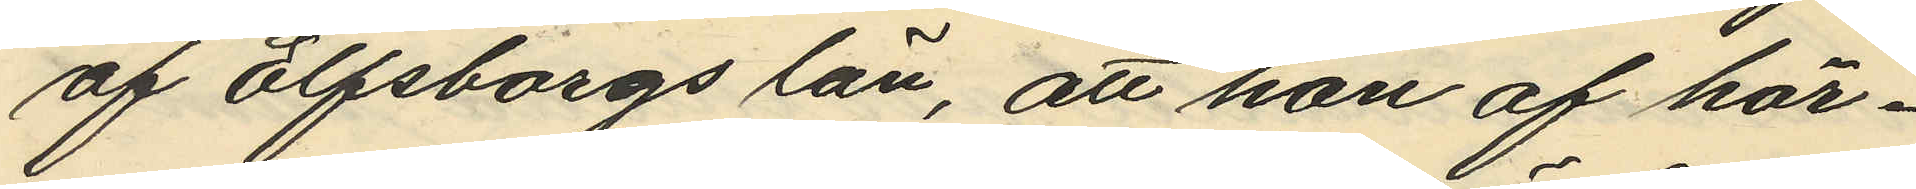af Elfsborgs län, att hon af här¬
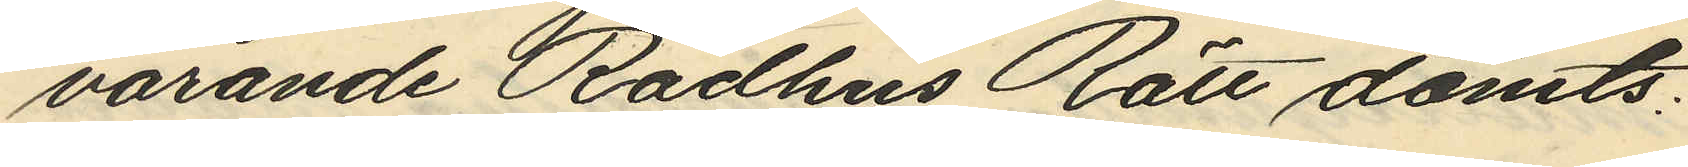varande Rådhus Rätt dömts:
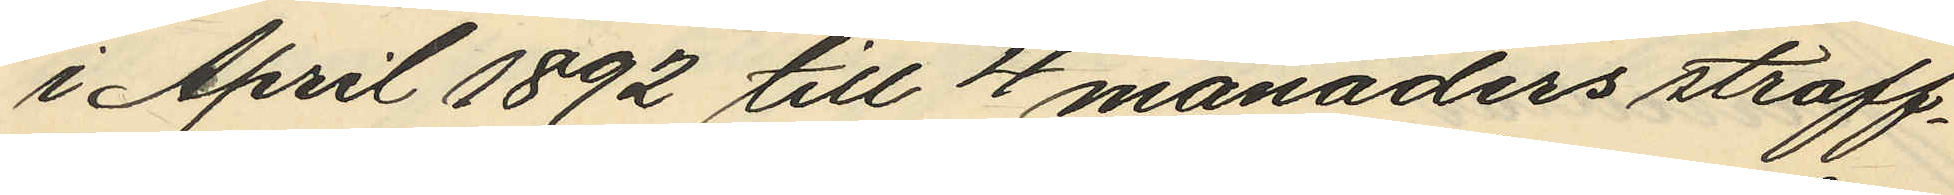i April 1892 till 4 månaders straff¬
